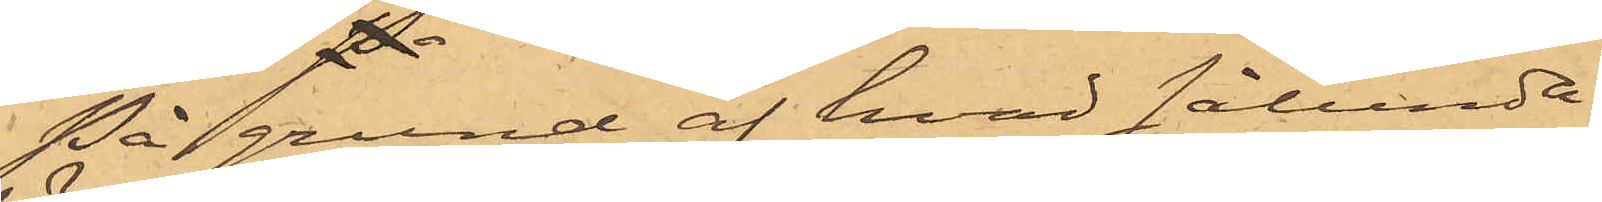På grund af hvad sålunda
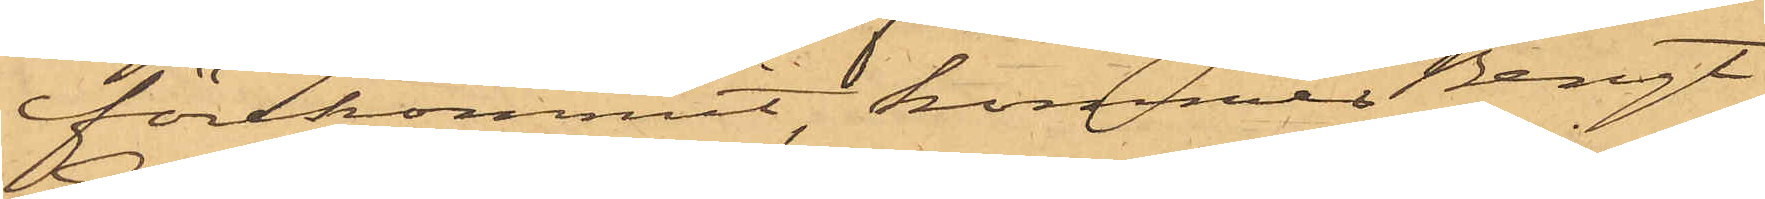förekommit, kommer Bengt
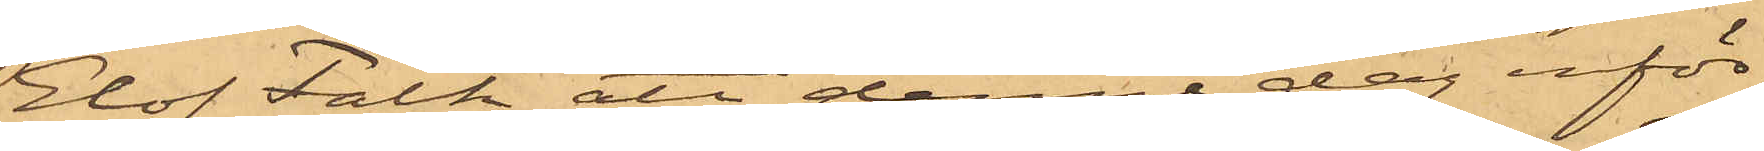Elof Falk att denna dag inför
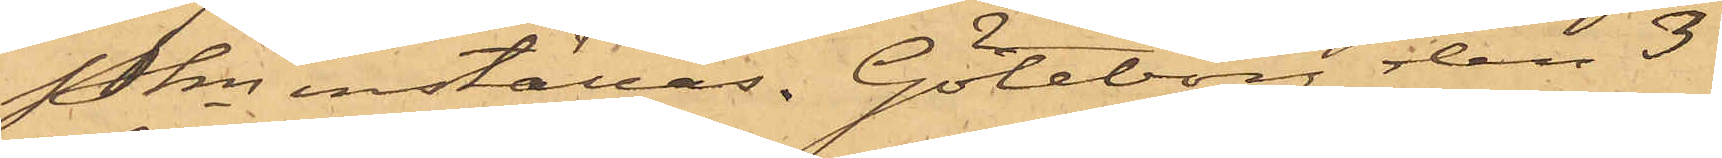Pkn inställas. Göteborg den 3
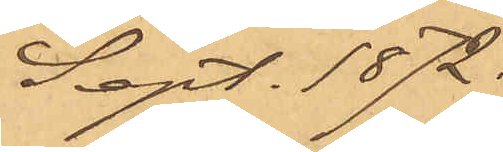Sept. 1872.
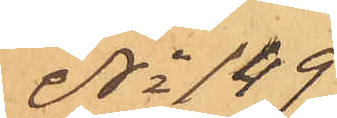No 149
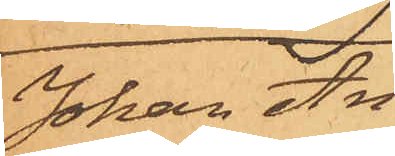Johan An¬
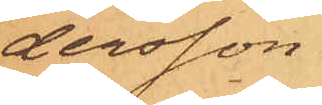dersson.
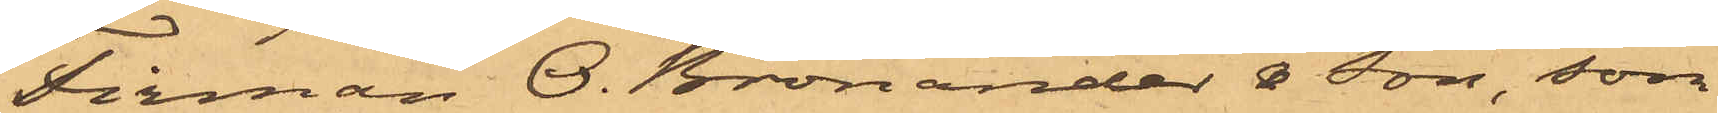Firman O. Bronander & Son, som
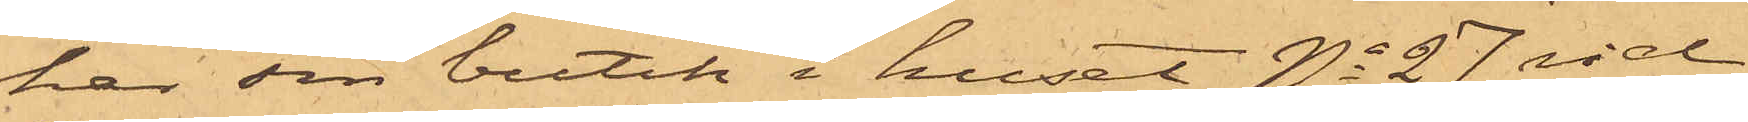har sin butik i huset No 27 vid
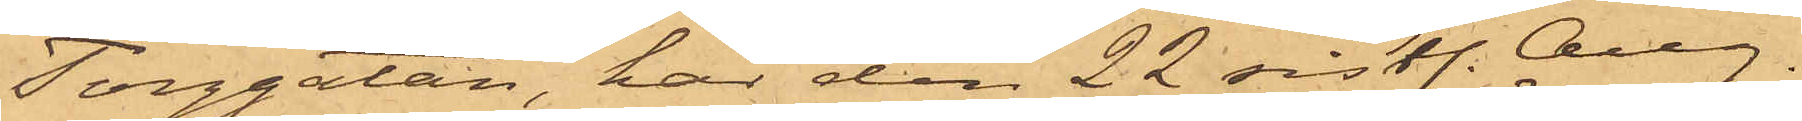Torggatan, har den 22 sistl. Aug.
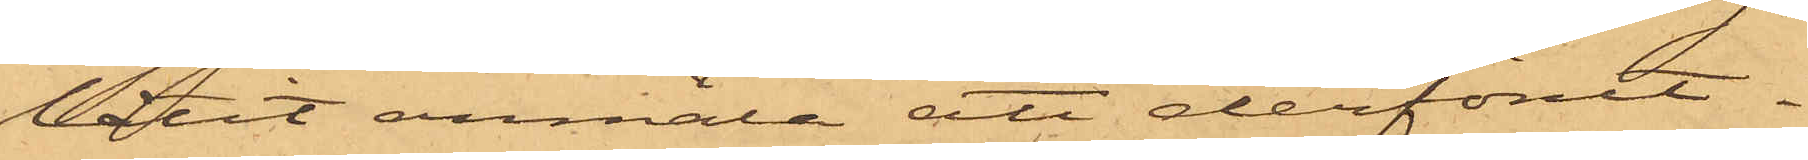låtit anmäla att derförut¬
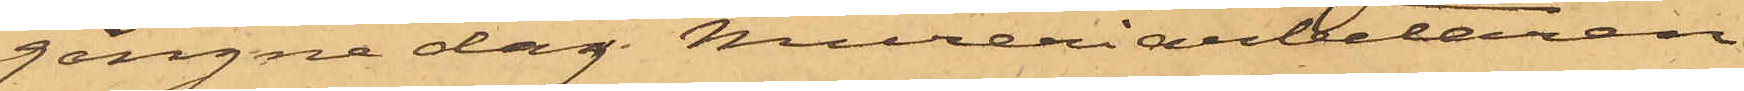gångne dag Mureriarbetaren
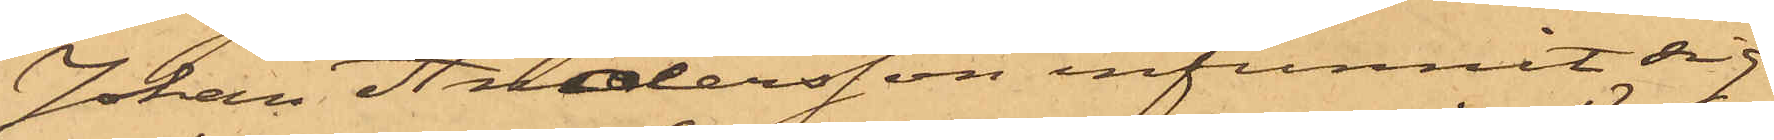Johan Andersson infunnit sig
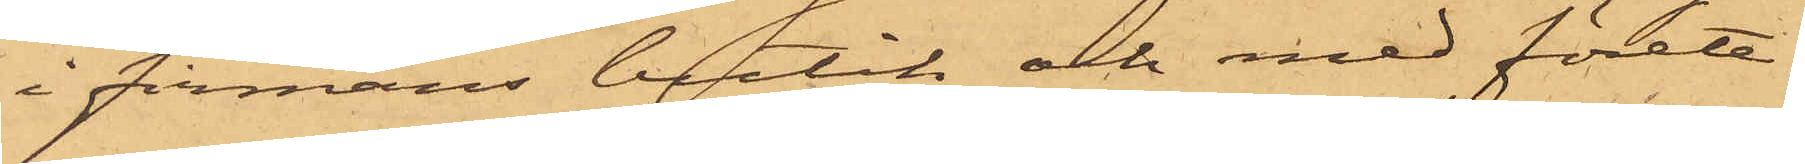i firmans butik och med förete¬
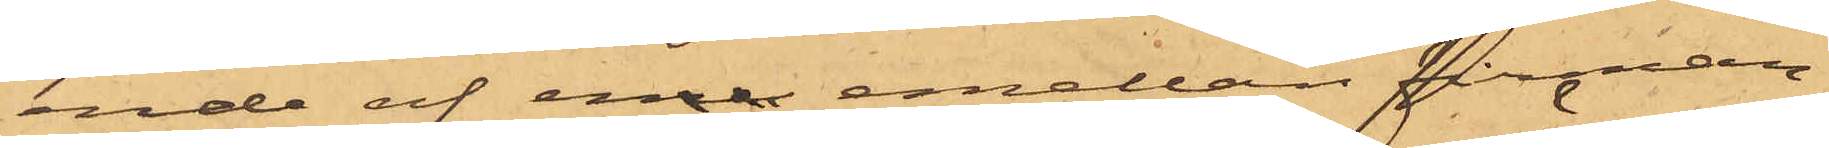ende af enre emellan firman
